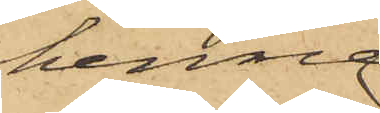henne
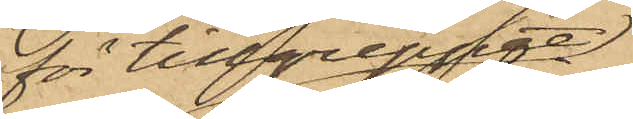för tillgreppet
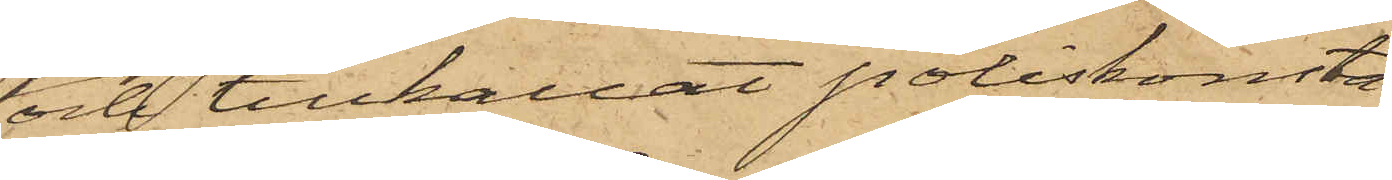och tillkallat poliskonsta¬
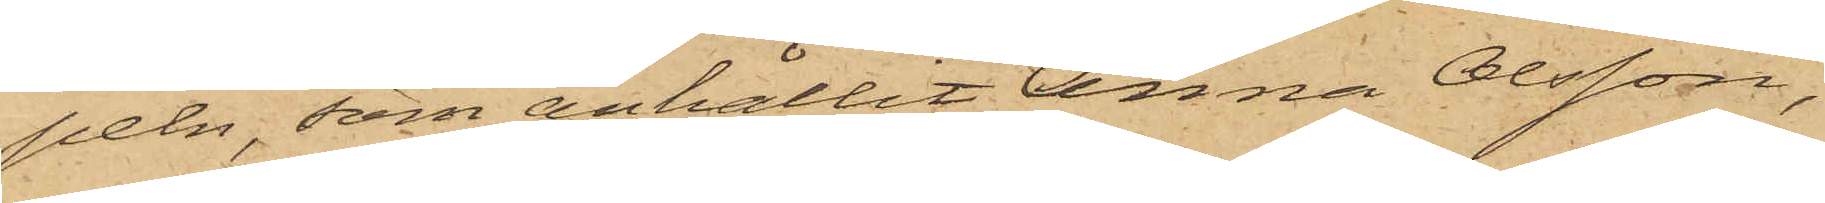peln, som anhållit Anna Olsson,
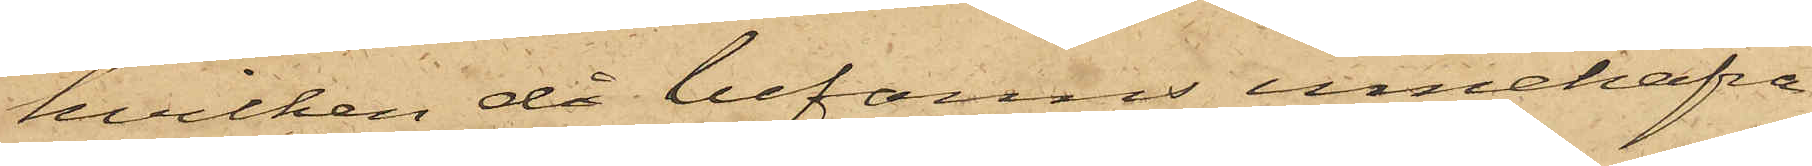hvilken då befanns innehafva
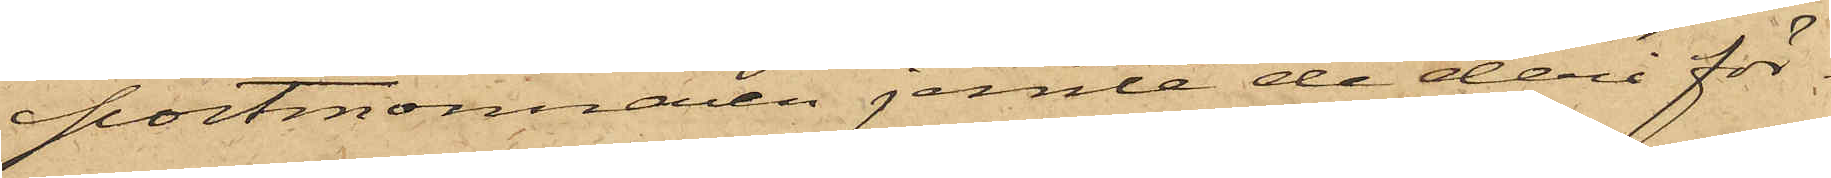portmonnaien jemte de deri för¬
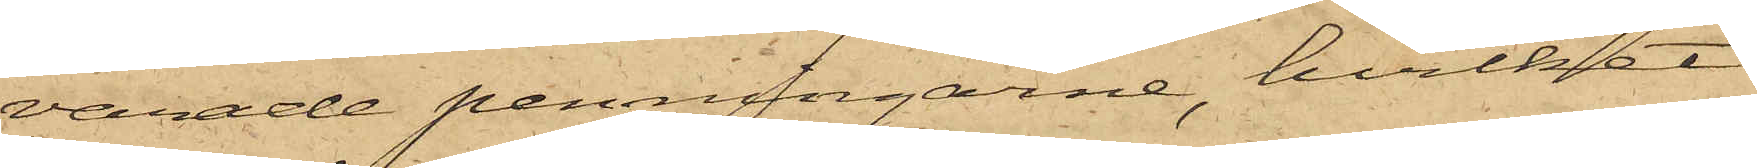varade penningarne, hvilket
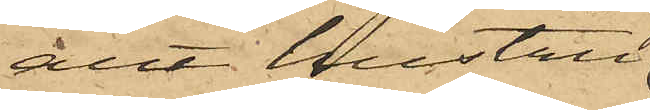allt hustru
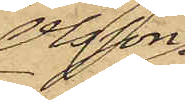Olsson
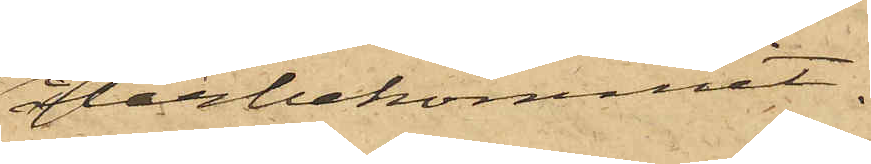återbekommit.
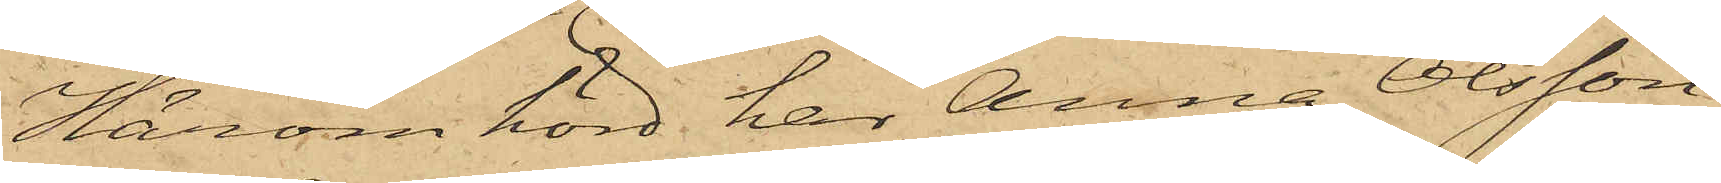Härom hörd, har Anna Olsson
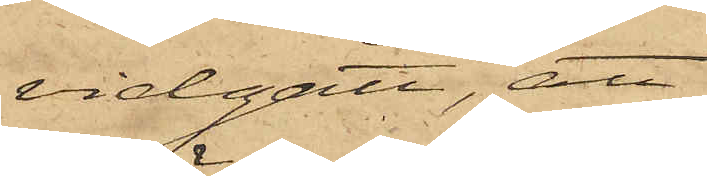vidgått, att
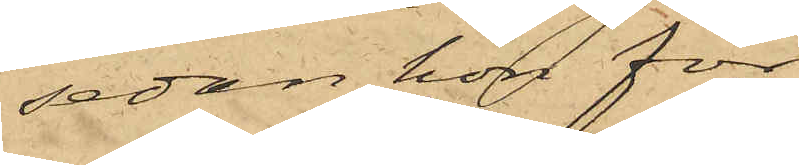sedan hon för¬
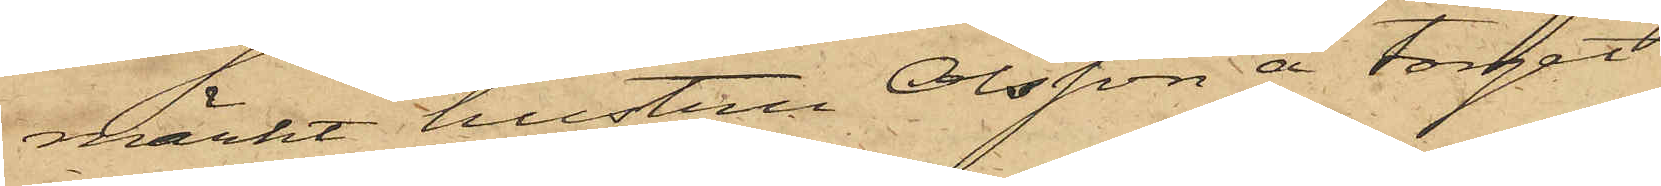märkt hustru Olsson å torget
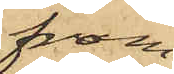fram¬
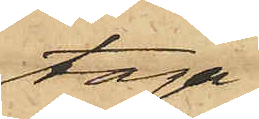taga
